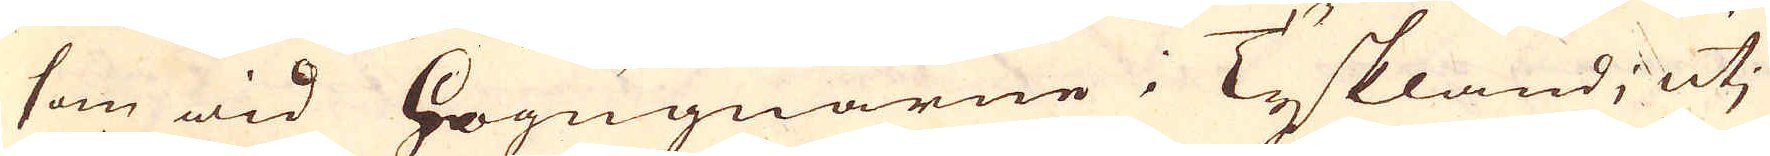som wid Högugnarne i Tyskland; utj
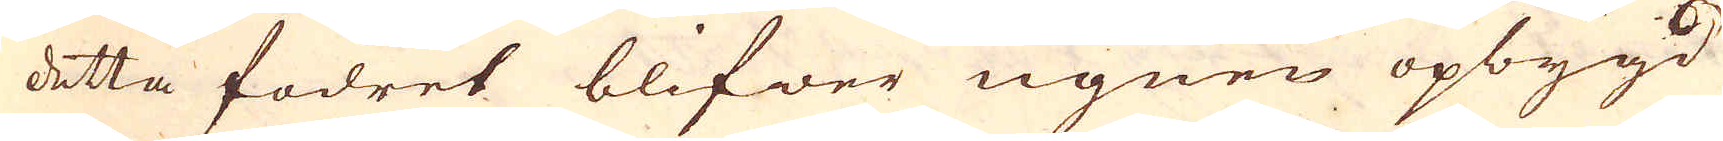detta fodret blifwer ugnen opbygd
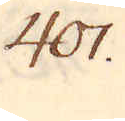401.
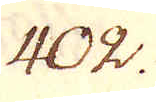402.
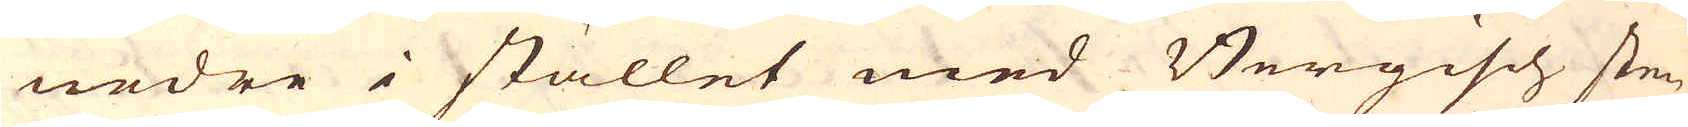nedre i stället med Bergisch sten,
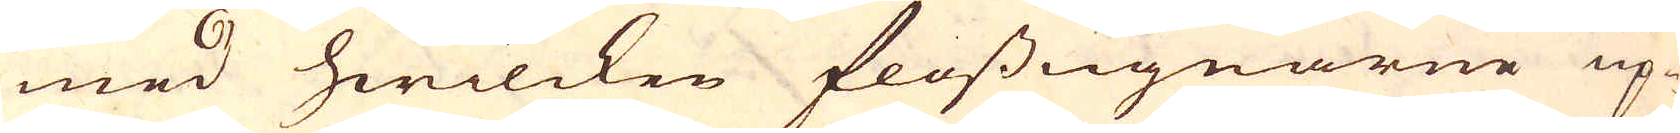med hwilcken flossugnarne up-
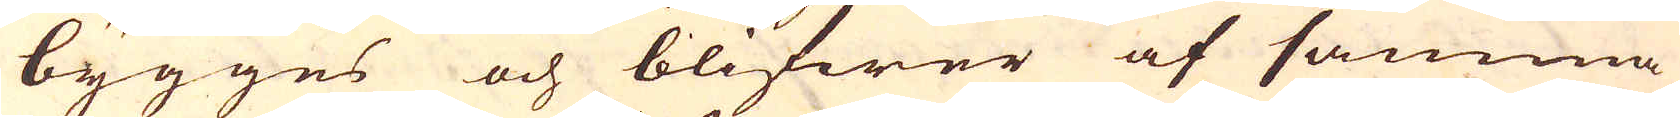bygges och blifwer af samma
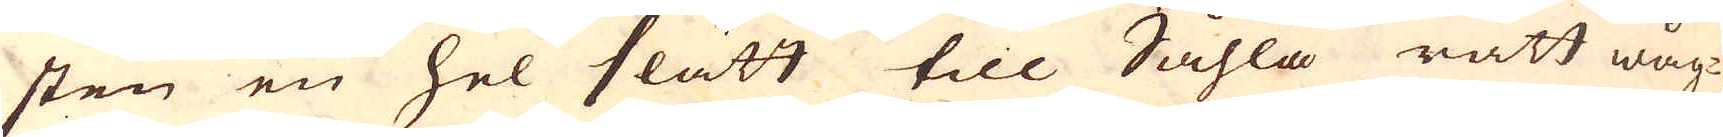sten en hel slätt till Såhla rätt wåg-
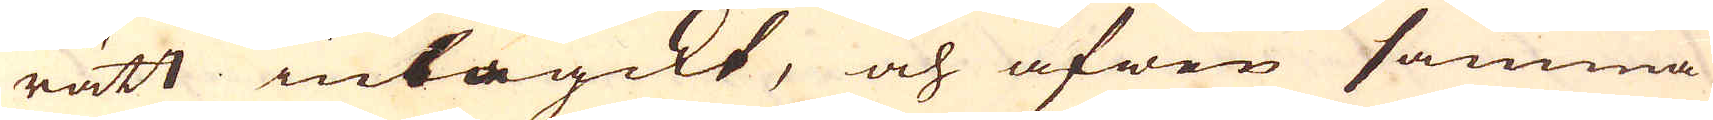rätt inbragdt, och äfwen samma
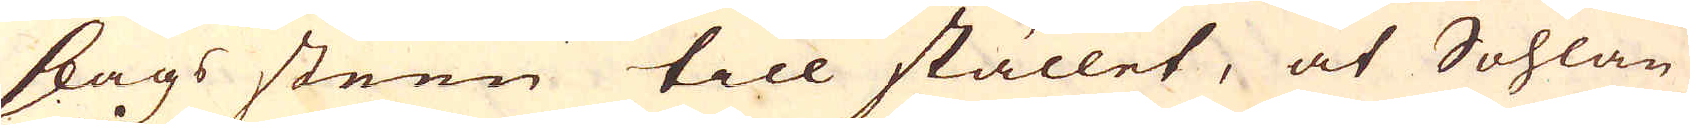slags steen till stället, at Sohlan
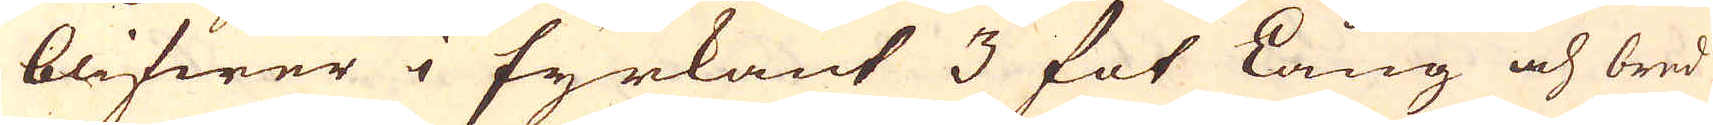blifwer i fyrkant 3 fot lång och bred
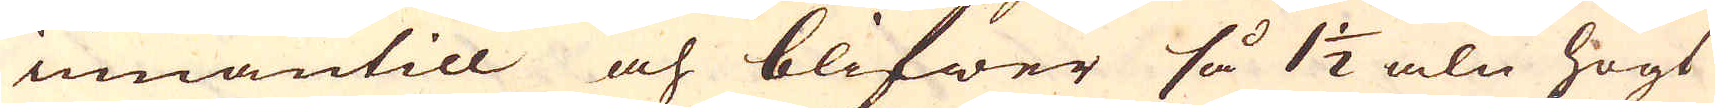innantill och blifwer så 1 1/2 aln högt
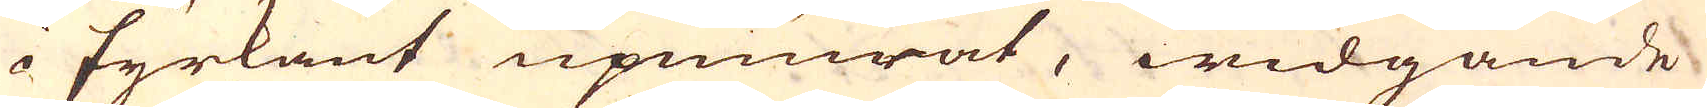i fyrkant upmurat, widgande
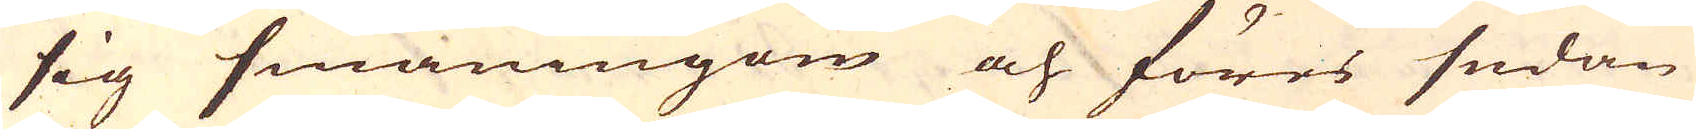sig småningom och föres sedan
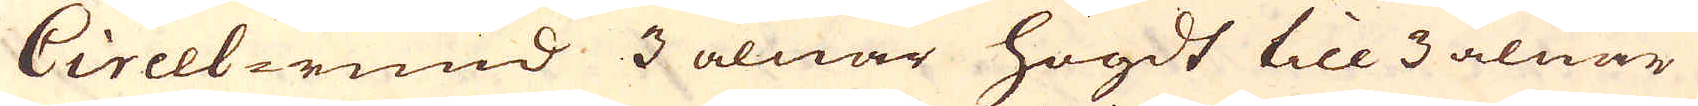Circel-rund 3 alnar högdt till 3 alnar
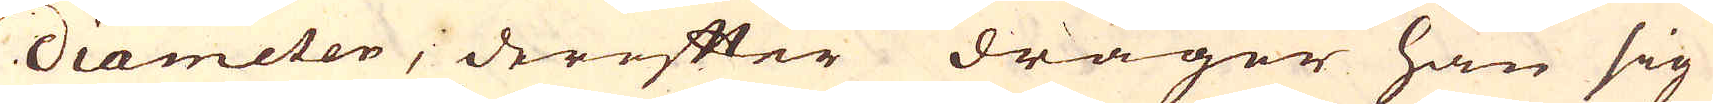diameter, dereffter drager han sig
